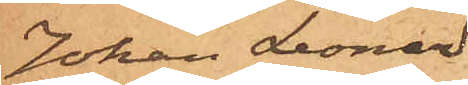Johan Leonard
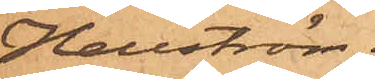Hellström.
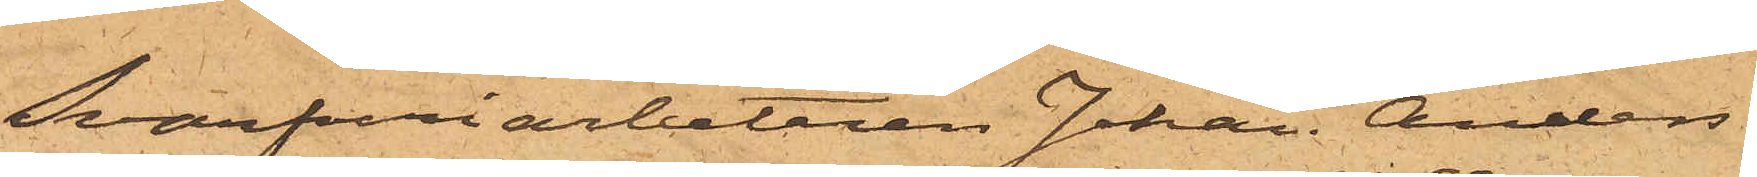Svarfveriarbetaren Johan Anders
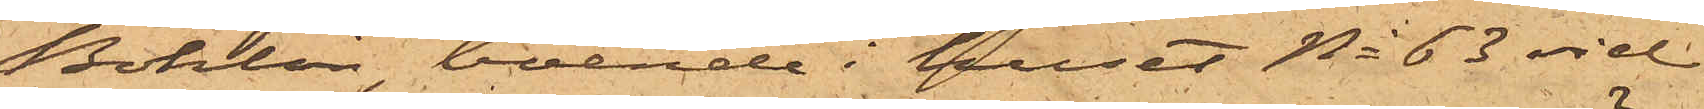Bohlin, boende i huset No 63 vid
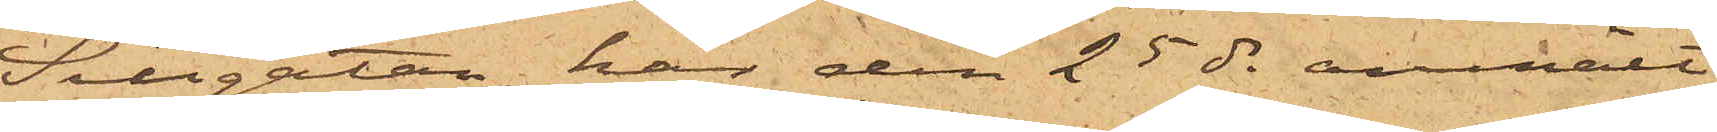Sillgatan, har den 25 ds anmält
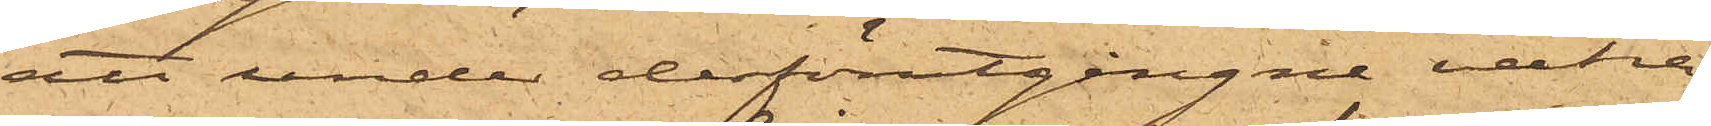att under derförutgångne vecka
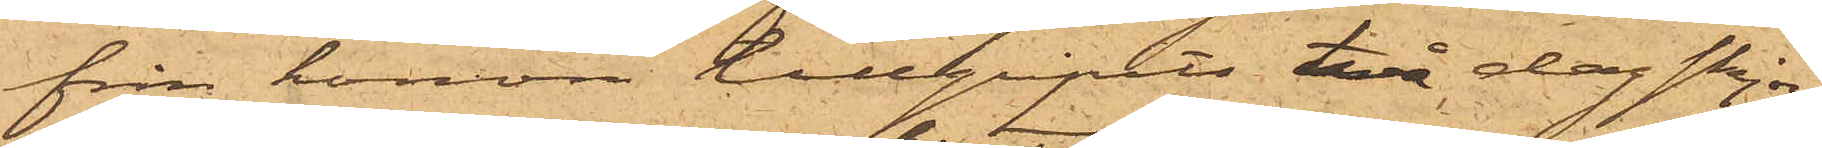från honom tillgripits två dagskjor¬
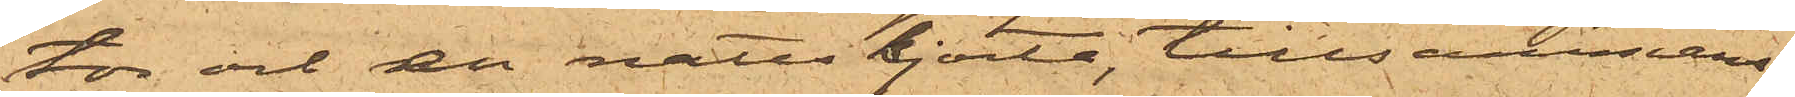tor och en nattskjorta, tillsammans
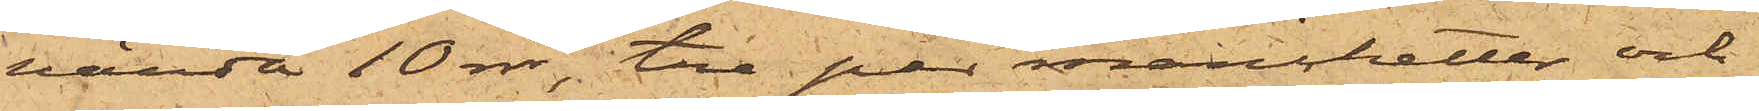värda 10 rdr, tre par manschetter och
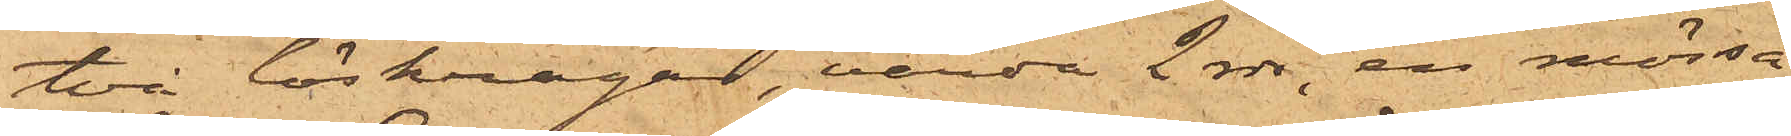två löskragar, värde 2 rdr, en mössa
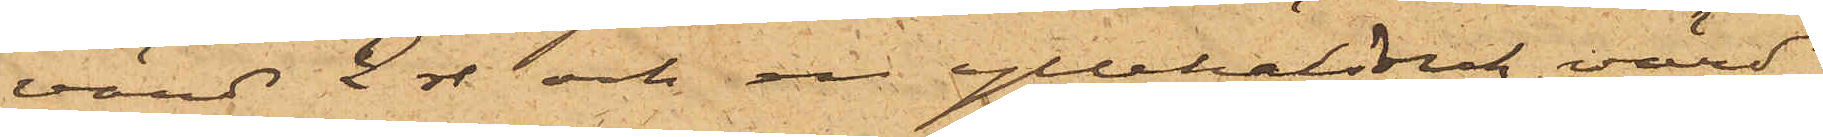värd 2 rdr och en yllehalsduk, värd
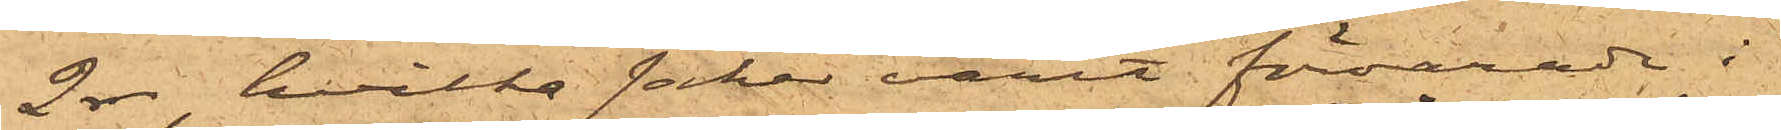2 rdr, hvilka saker varit förvarade i
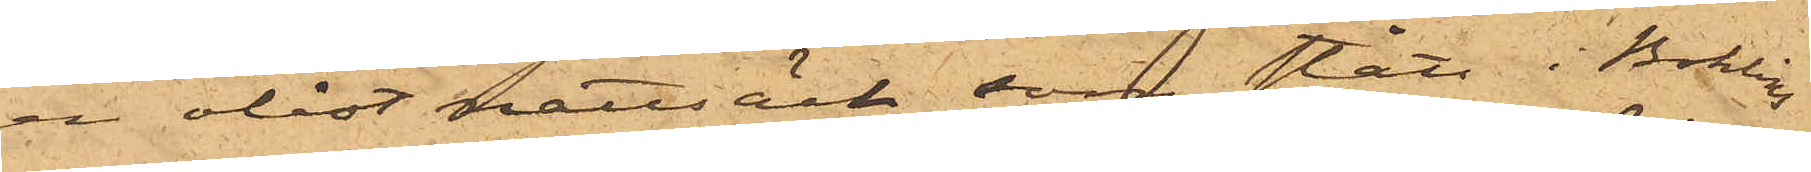en olåst nattsäck som stått i Bohlins
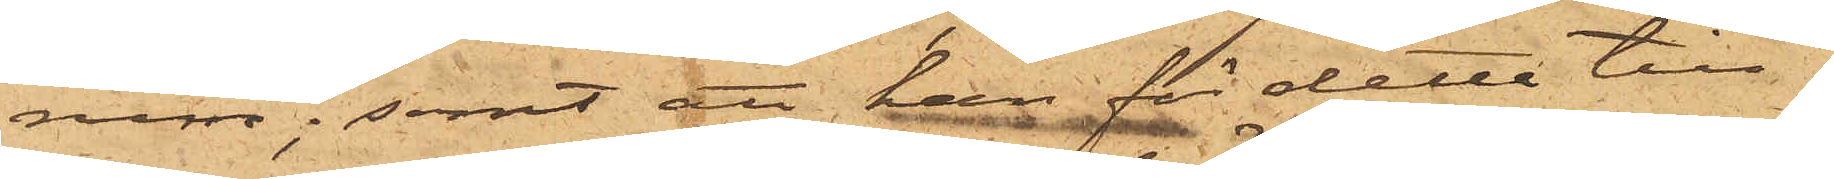rum; samt att han för detta till¬
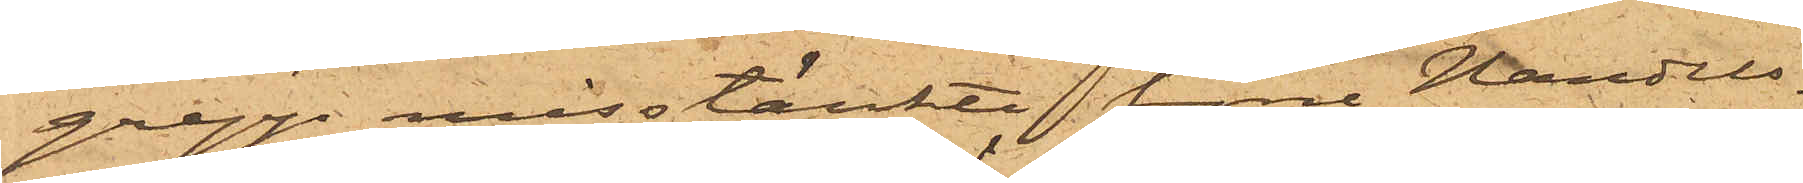grepp misstänkte förre Handels¬
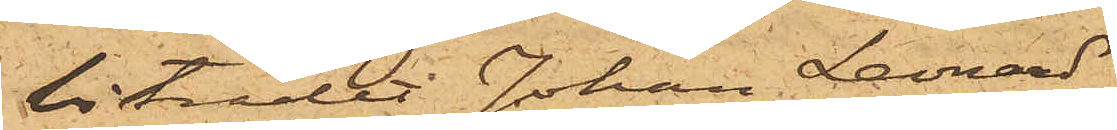biträdet Johan Leonard
